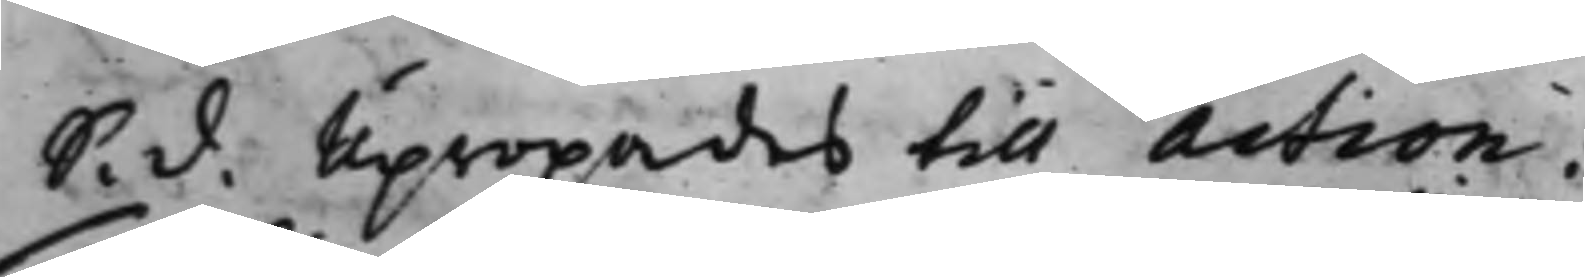S. d. Upropades till action:
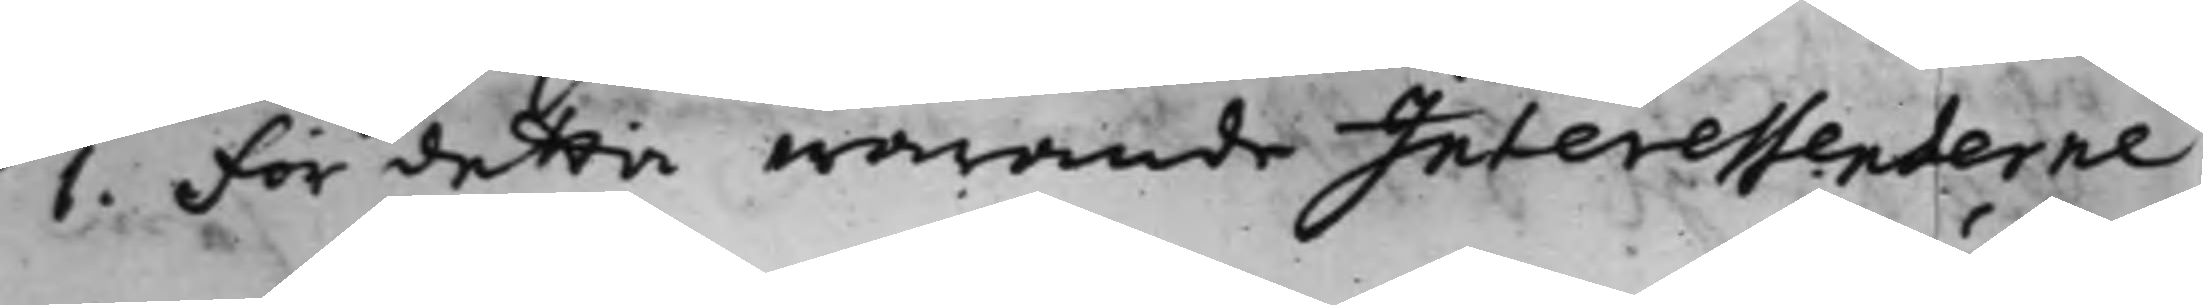1. För detta warande Interessenterne
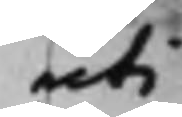uti
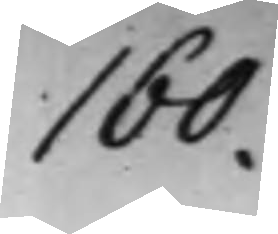160.
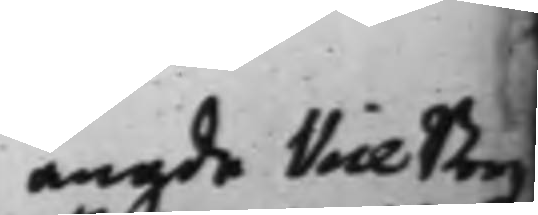angde Vice Borg¬
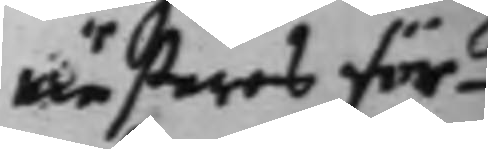mästares för¬
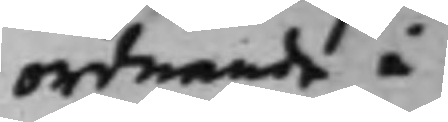ordnande i
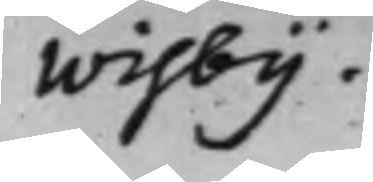Wisby.
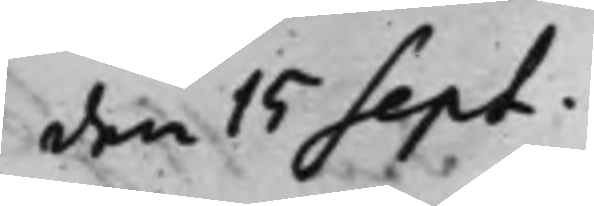den 15 Sept.
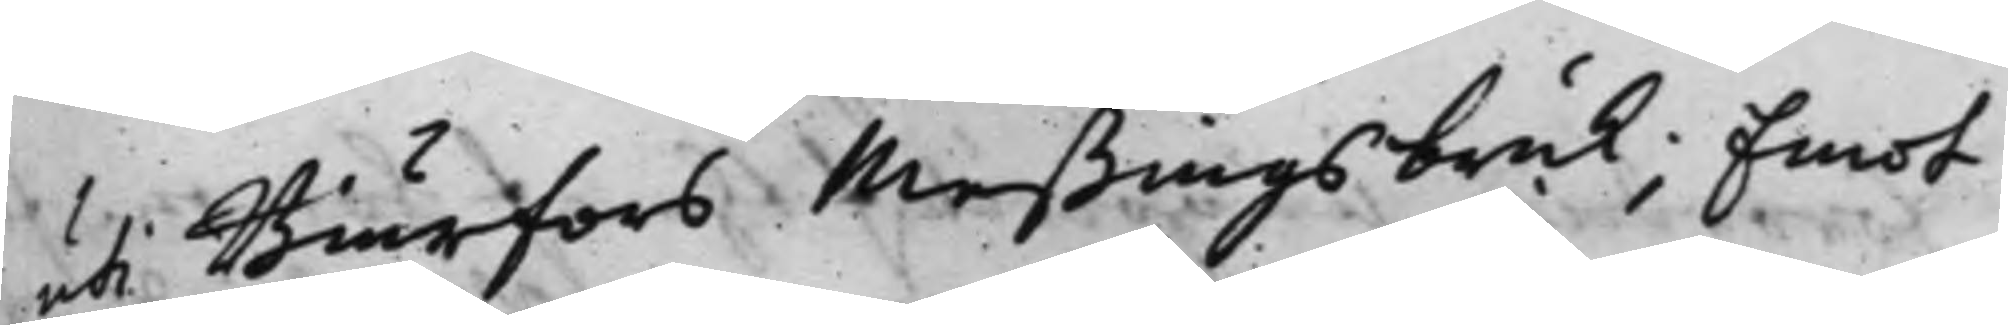uti Biurförs Meßings bruk; Emot
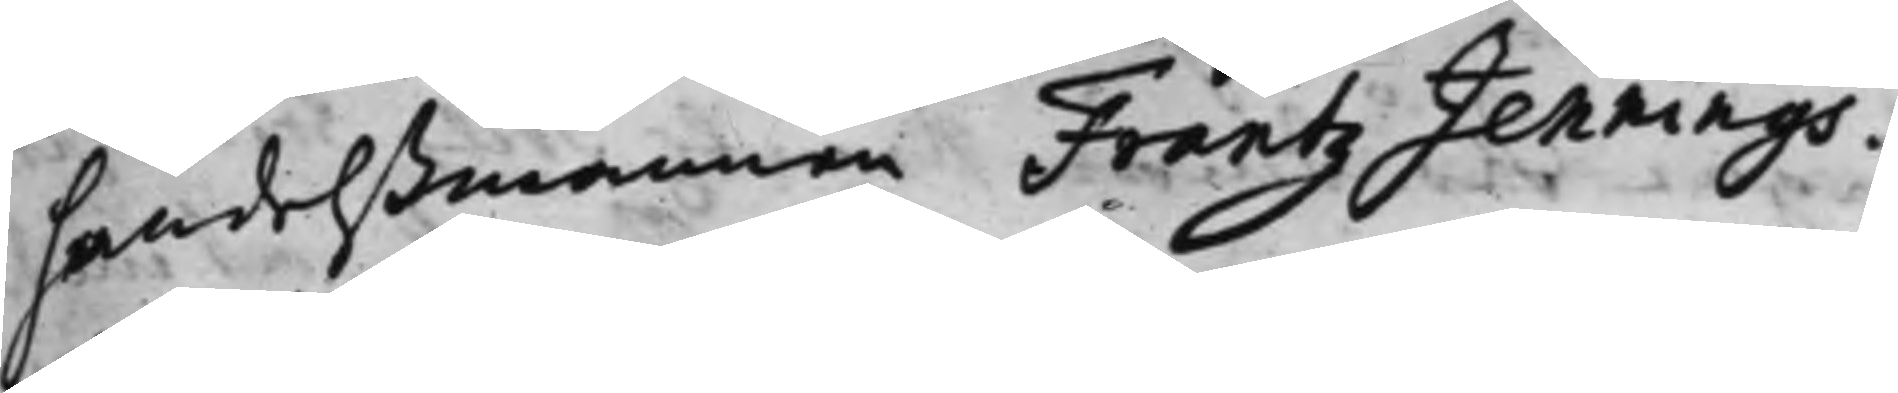handelßmannen Frantz Jennings.
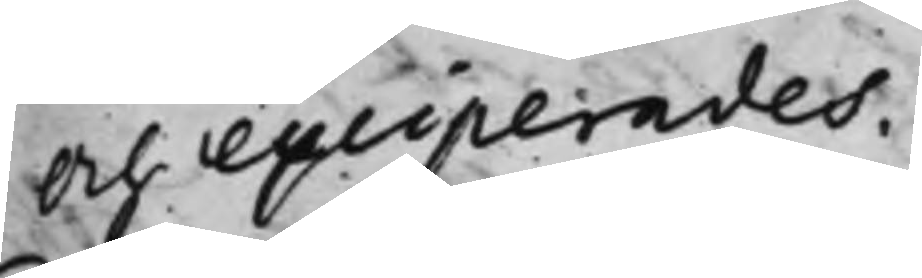Och exciperades.
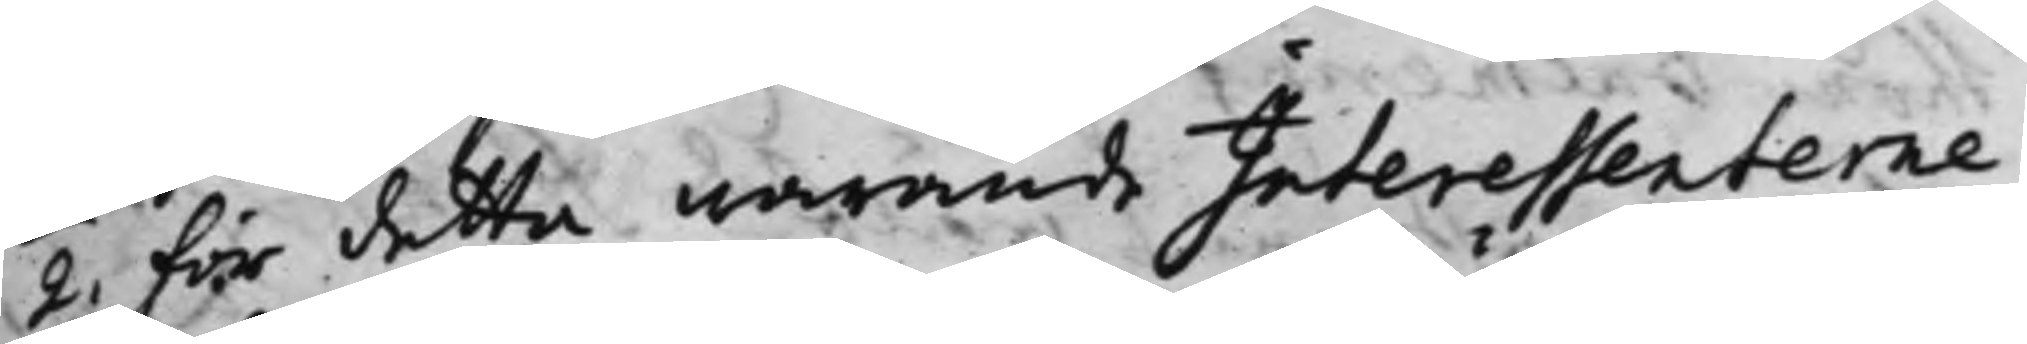2. för detta warande Interessenterne
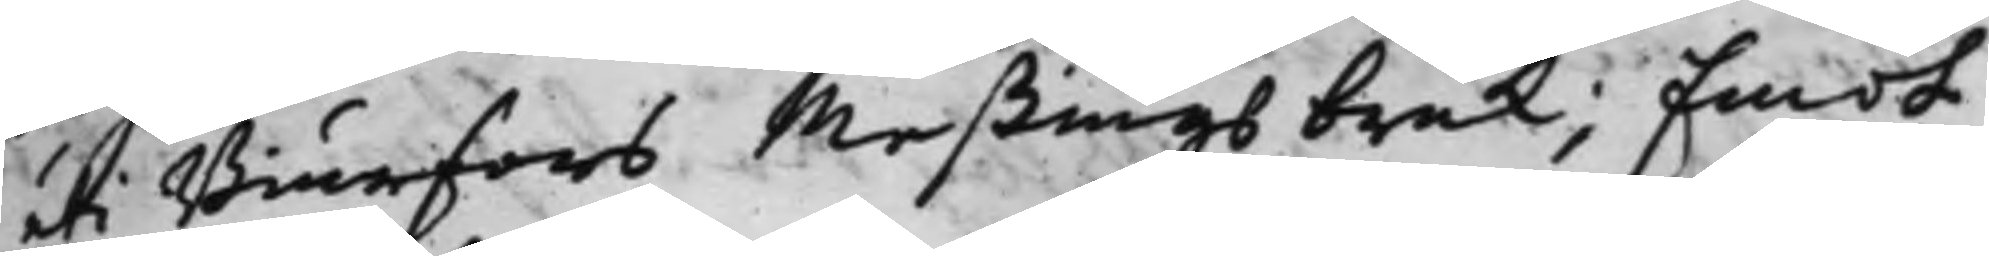uti Biurfors Meßings bruk; Emot
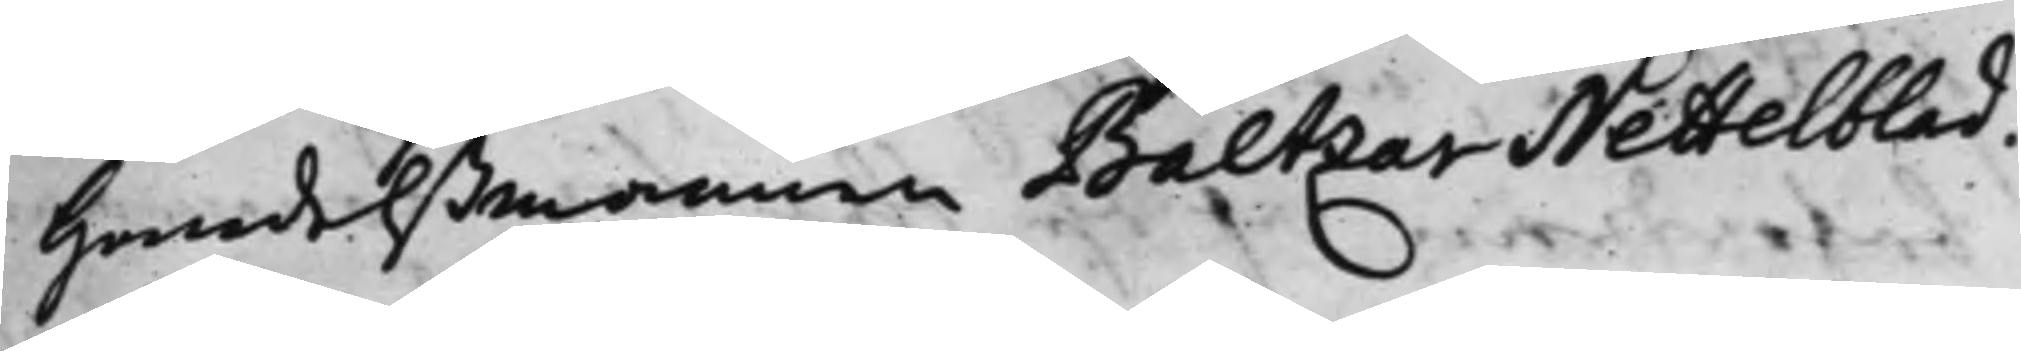Handelßmannen Baltzar Nettelblad.
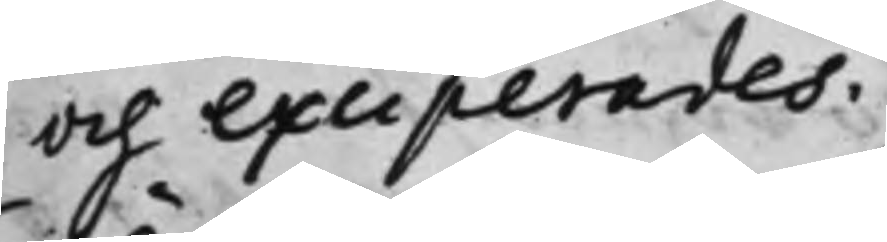Och exciperades.
